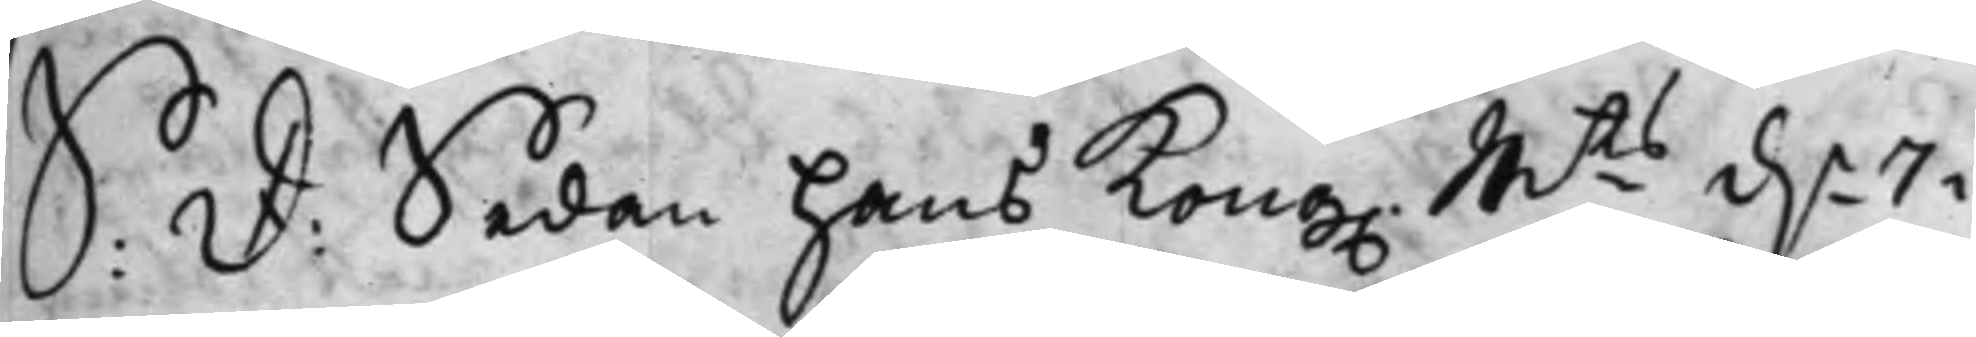S: D: Sedan hans Kong. Mts d.n 7 i
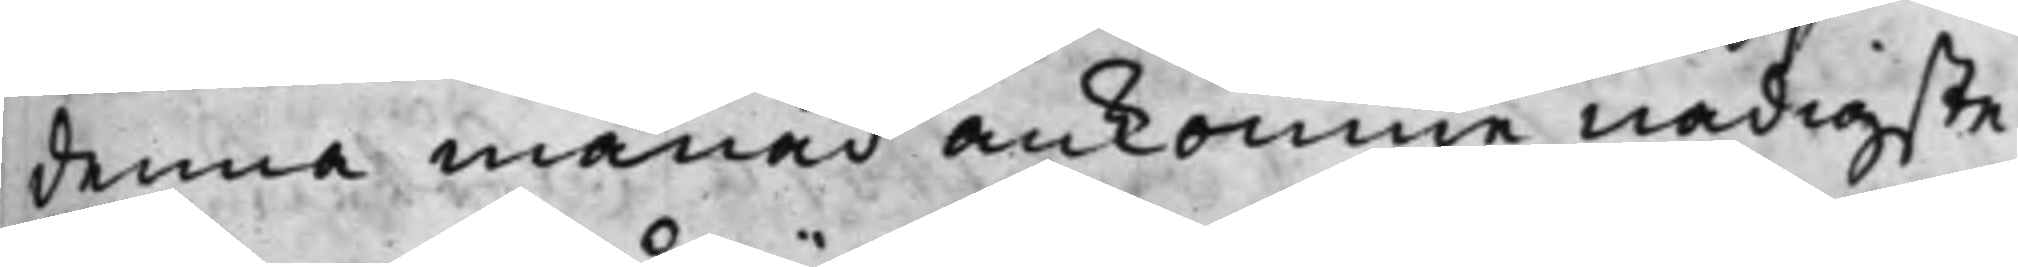denna månad ankomne nådigste
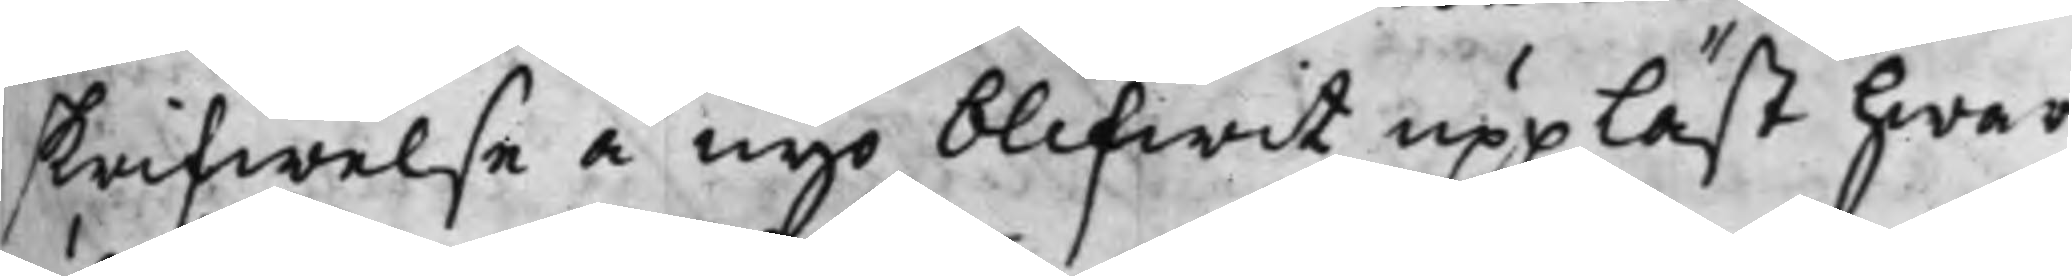skrifwelse å nyo blifwit uppläst hwar
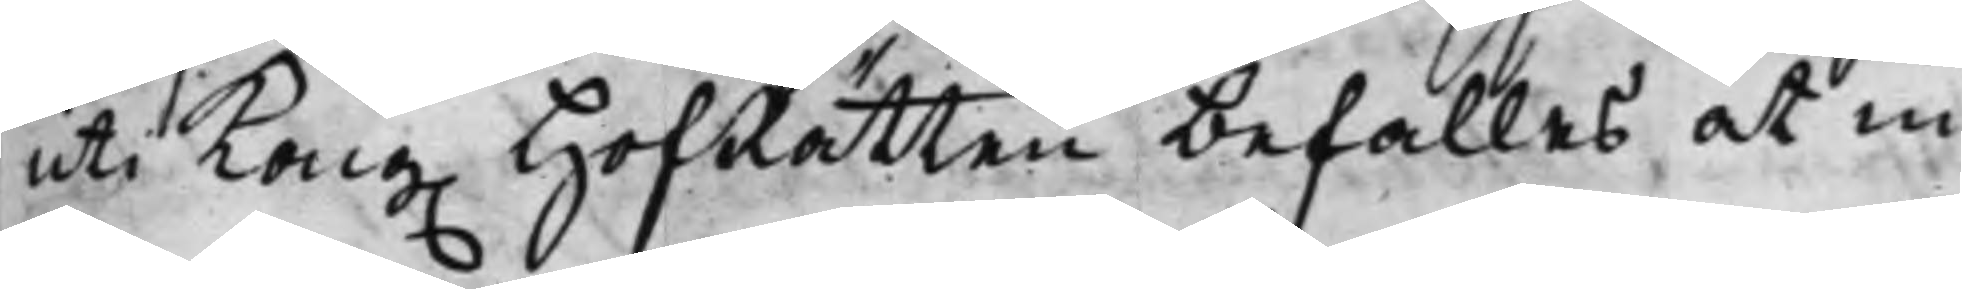uti Kong. HofRätten befalles at in¬
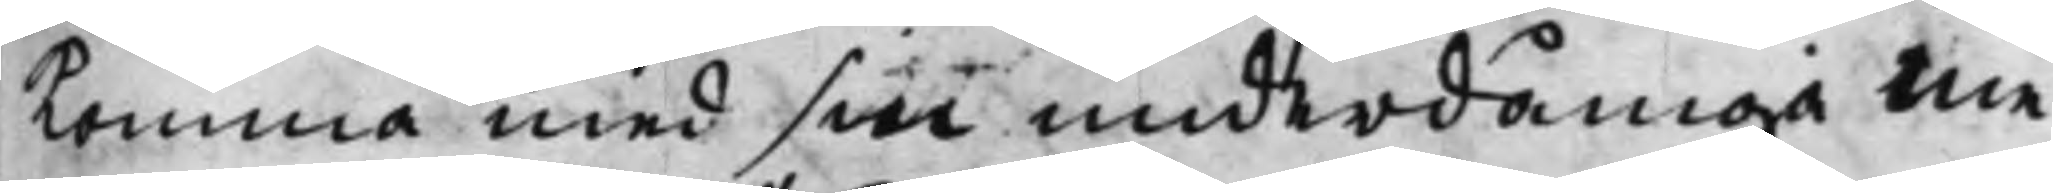komma med sin underdåniga me¬
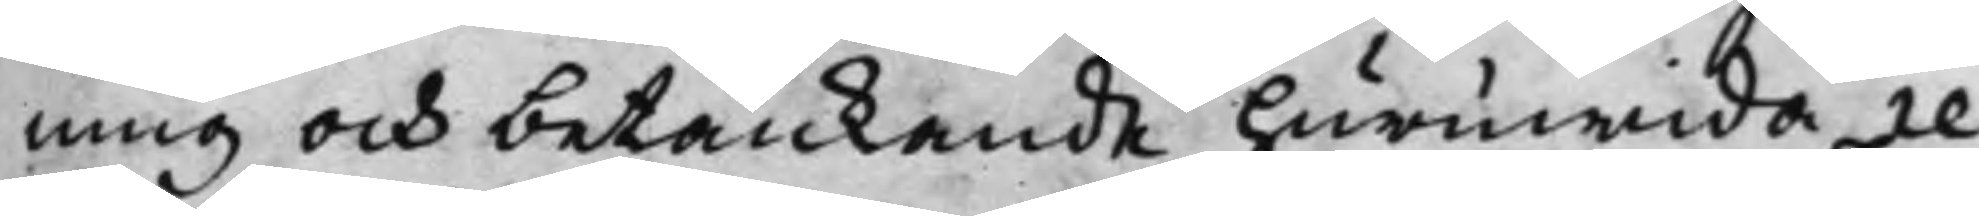ning och betänkande huruwida re¬
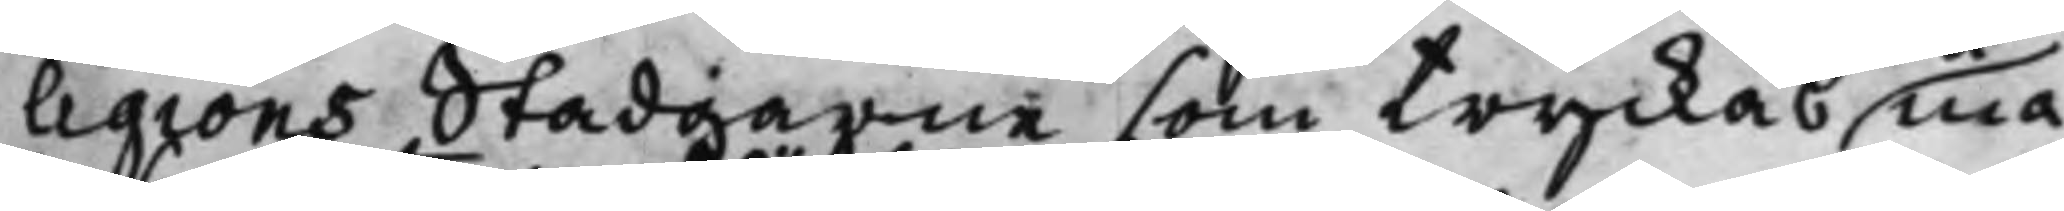ligions Stadgarne som tryckas må¬
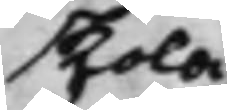skola
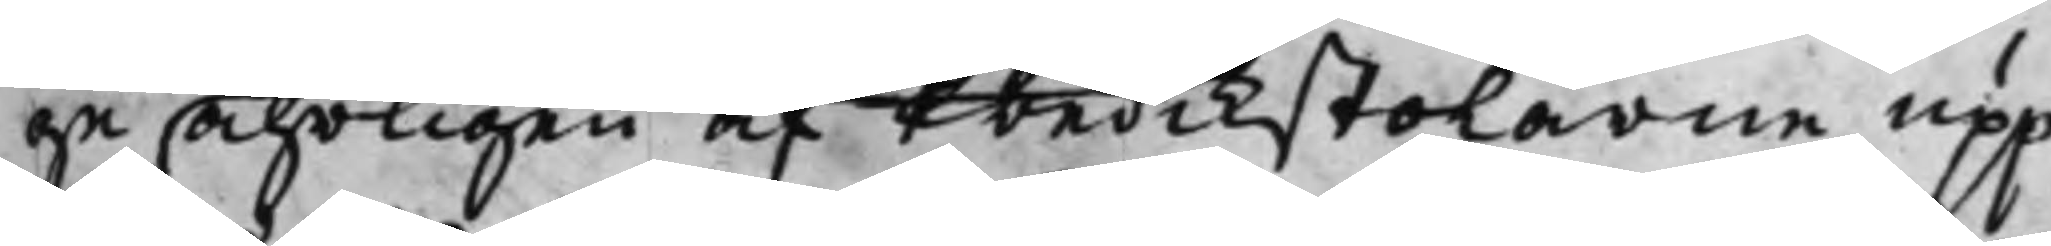ge åhrligen af Predikstolarne upp¬
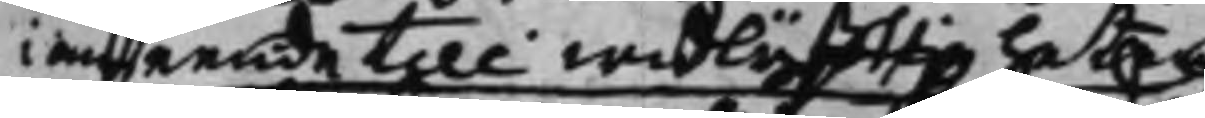i anseende till widlyffttigheten
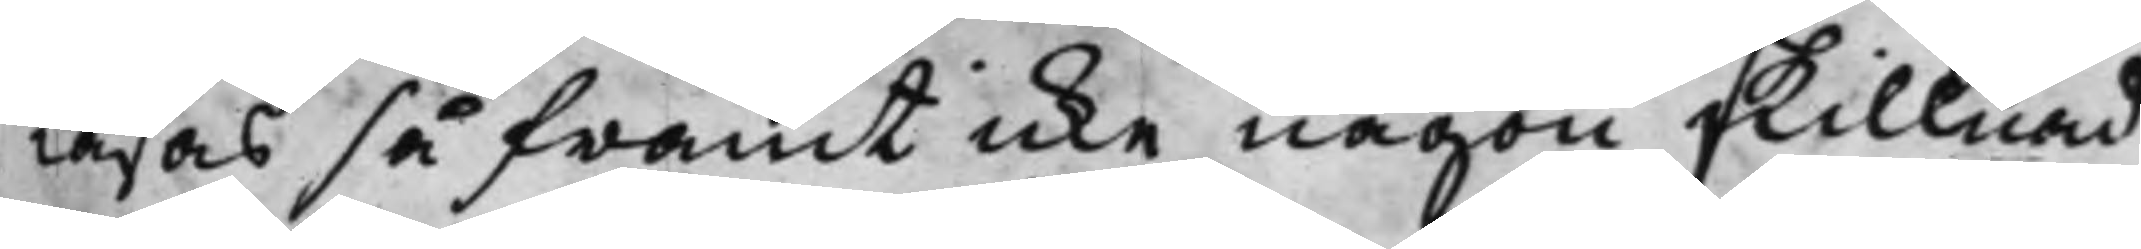läsas så framt icke någon skillnad
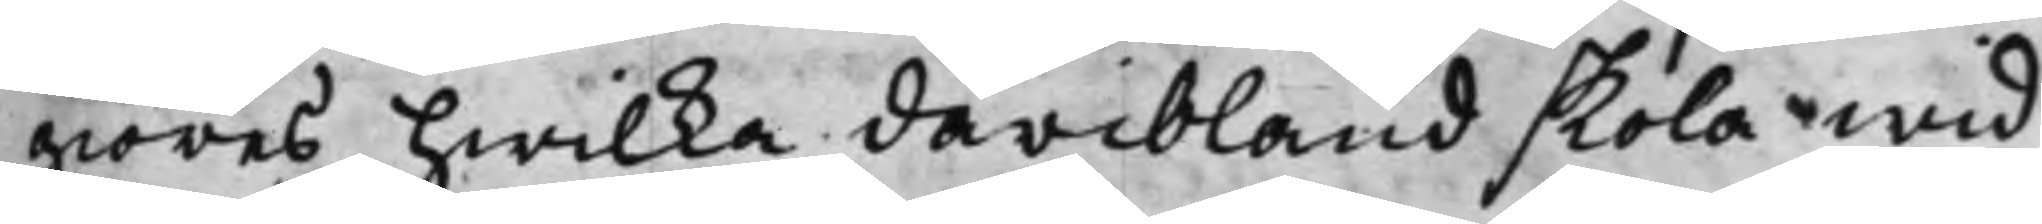giöras hwilka däribland skola wid
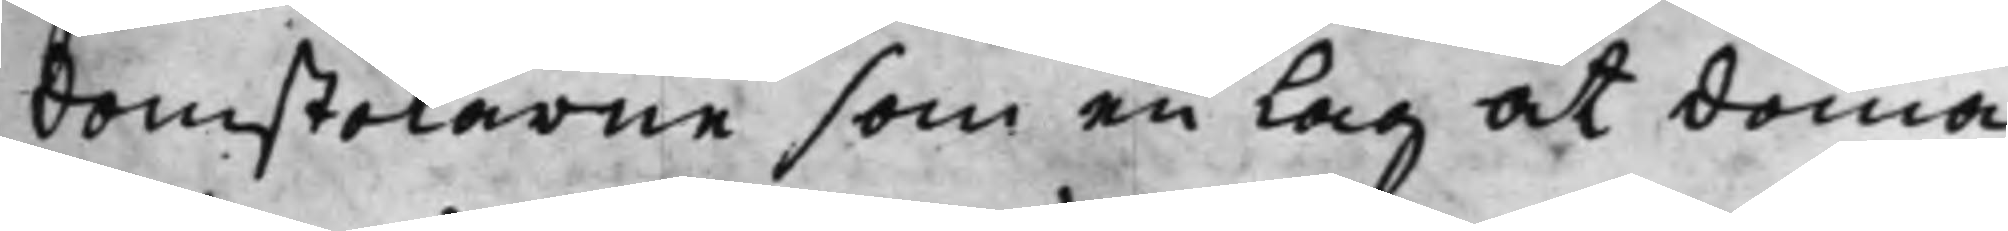domstolarne som en Lag at döma
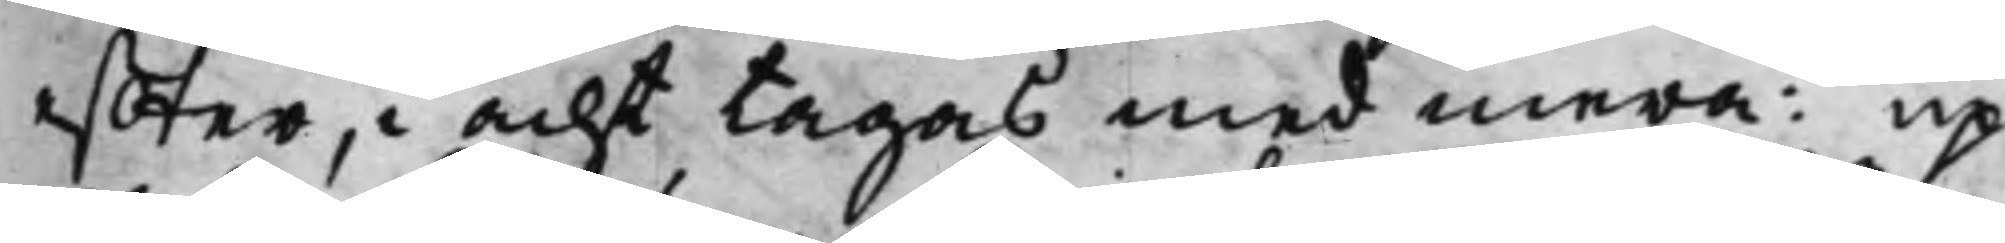effter, i acht tagas med mera: up¬
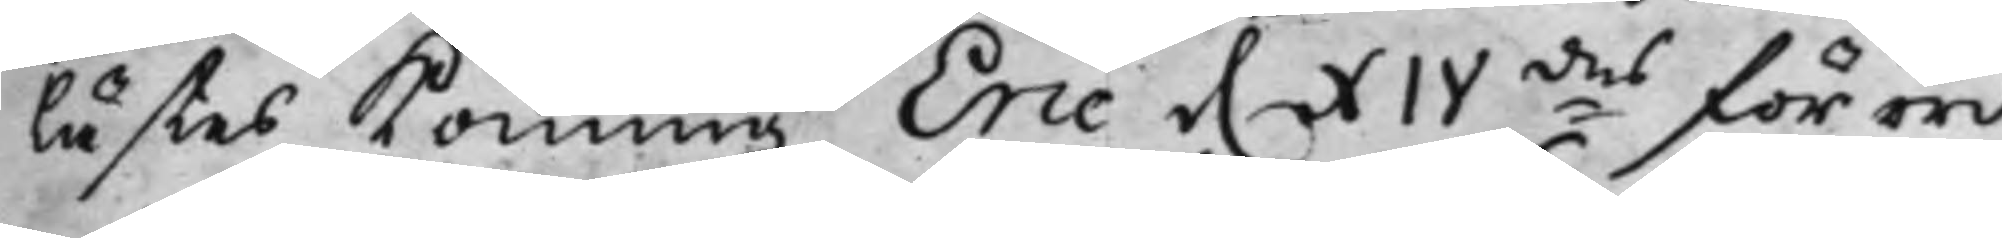lästes Konung Eric d. XIVdes förord¬
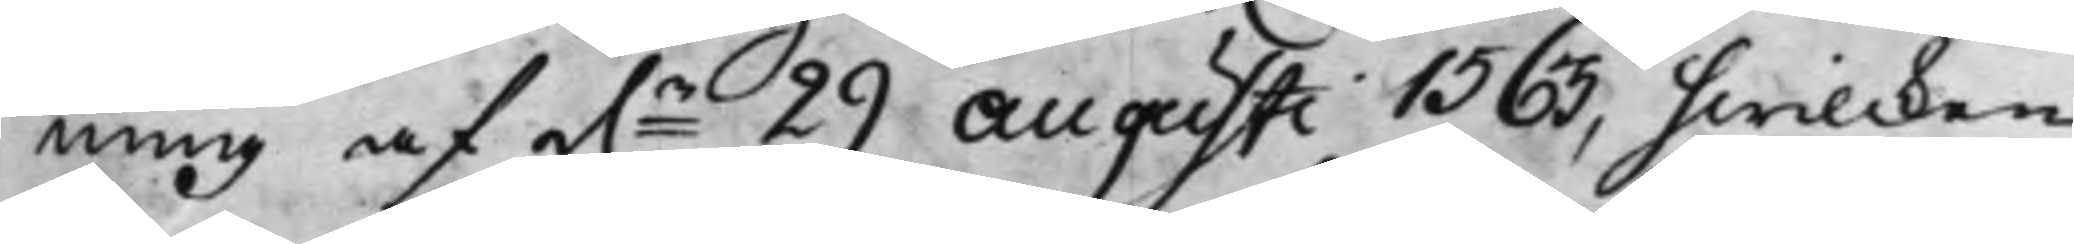ning af d.n 29 Augusti 1563, hwilcken
